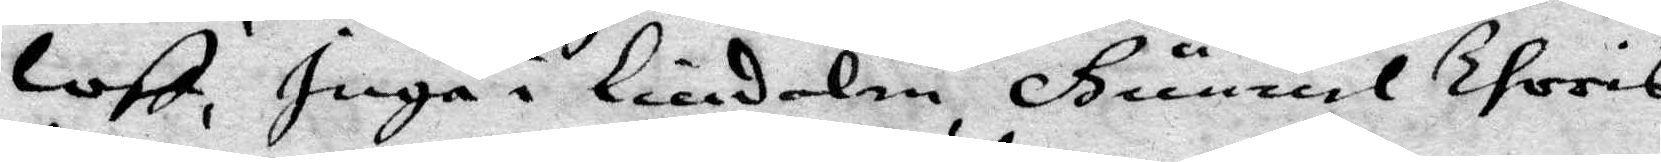loff, Inga i Lindalen, Gunnel Thoris¬
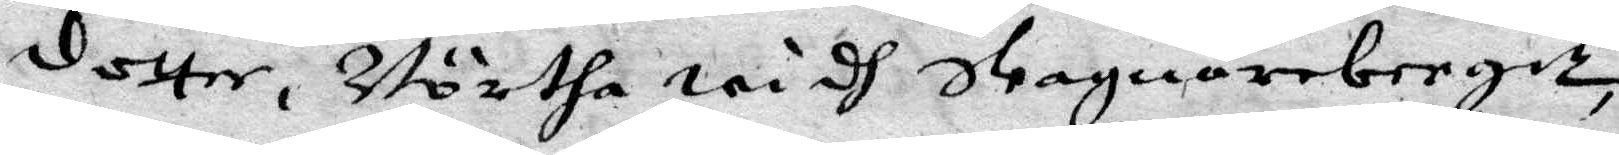dotter, Börtha widh Slagnarebergett,
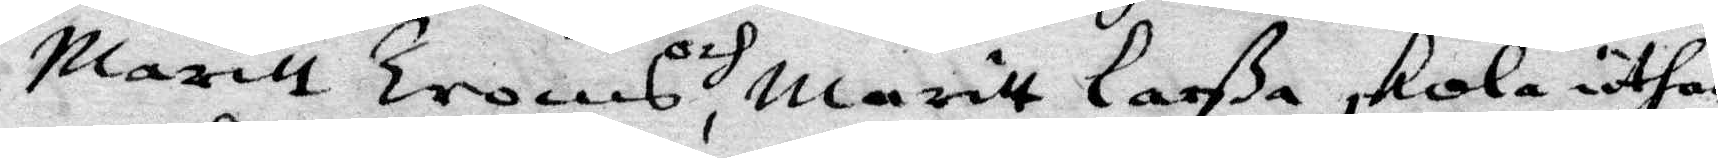Maritt Troms och, Maritt Larßa skola uthan
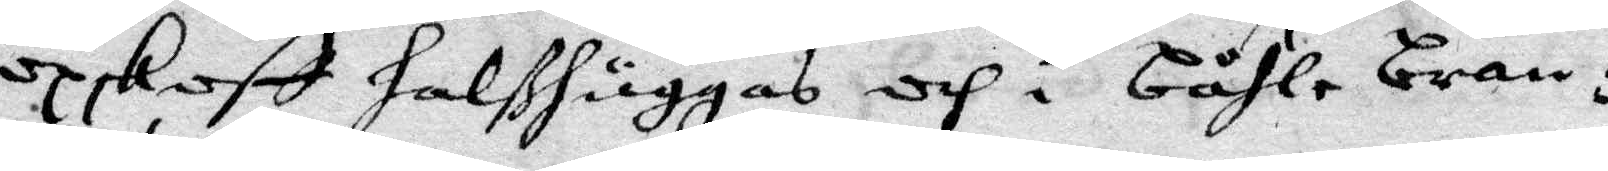opskoff halßhuggas och i båhle brän¬
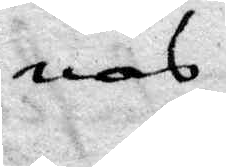nas.
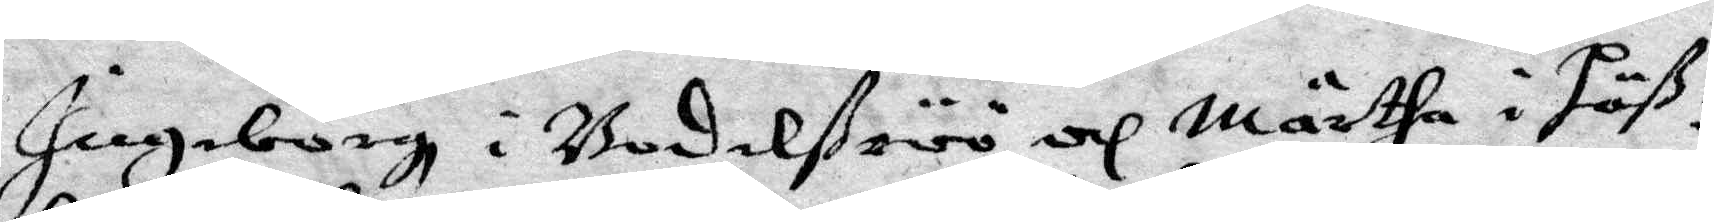Ingeborgh i Bodalßiöö och Märtha i Jäß¬
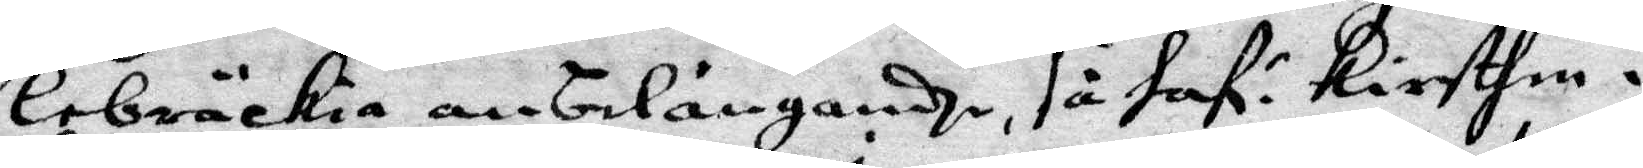lebräckia anbelångadhe, så Haf: Kirsten i
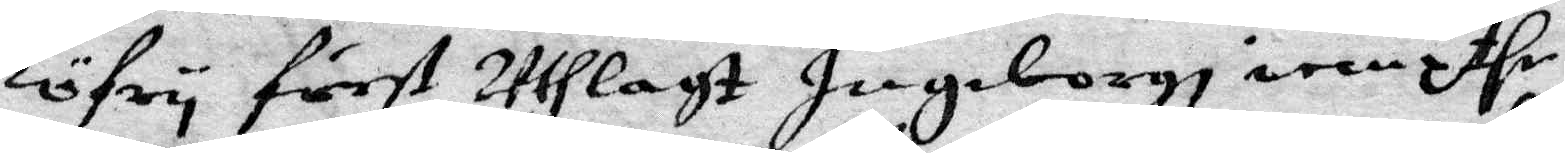Löfry först Uthlagt Ingeborgh iempthe
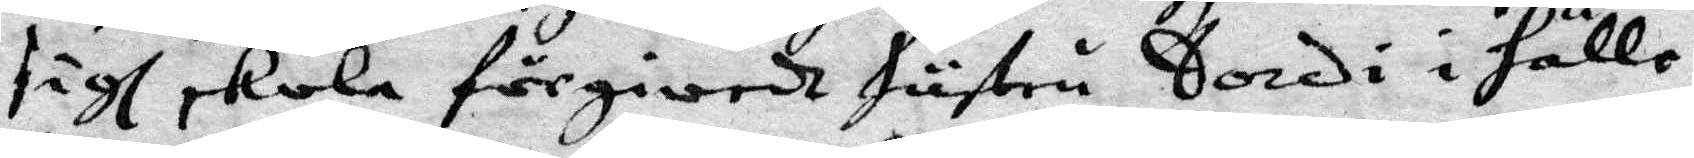sigh skola förgiordt hustru Sordi i Hälle¬
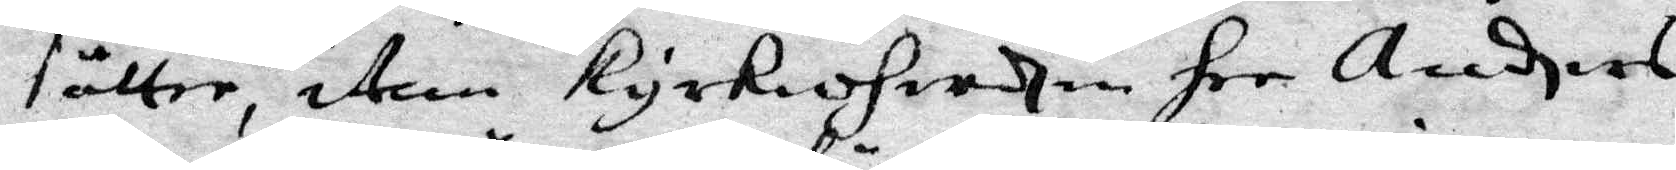sätter, item kyrkioherden her Andhers,
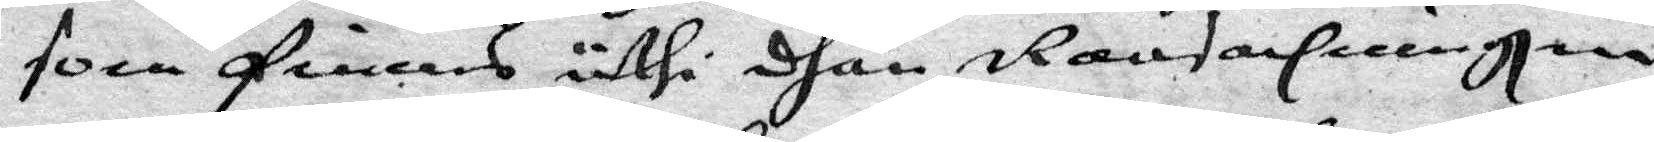som finnes uthi dhän Ransacninghen
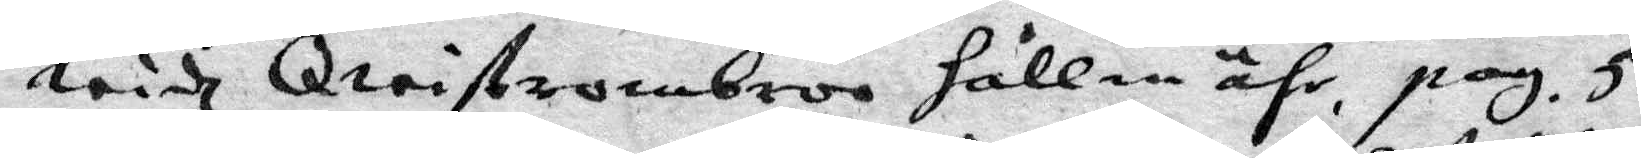widh Qwistronbroo hållen ähr, pag. 5.
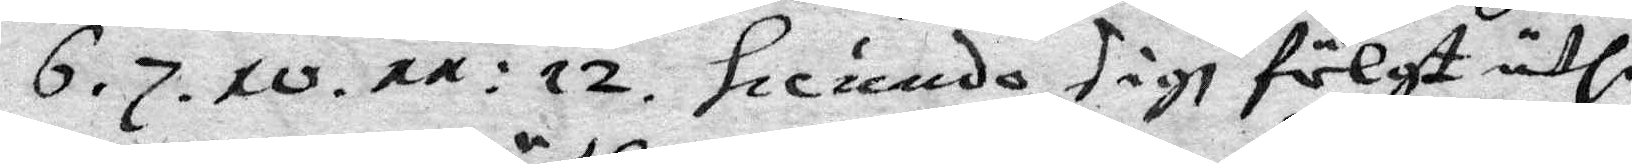6. 7. 10. 11: 12. Seciundo, sigh fölgt uthi
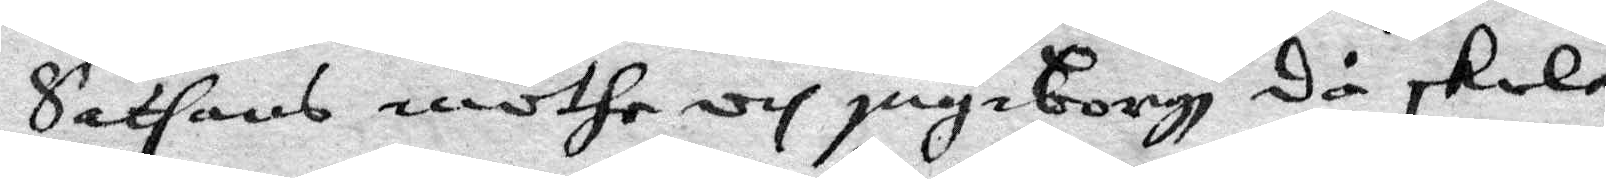Sathans möthe och ingeborgh då skola
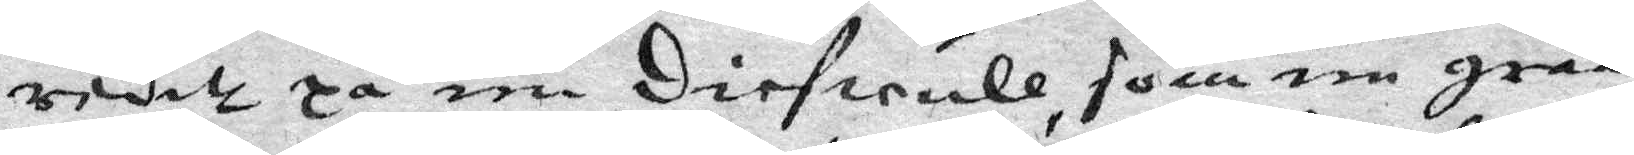reditt på een Diefwull, som en gråå
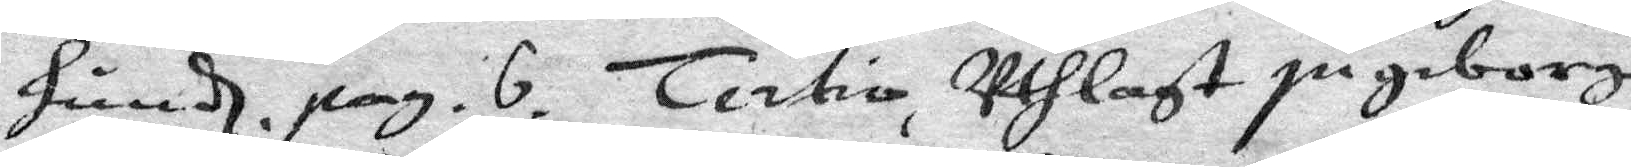hundh. pag. 6. Tertio, Uthlagt ingeborg
